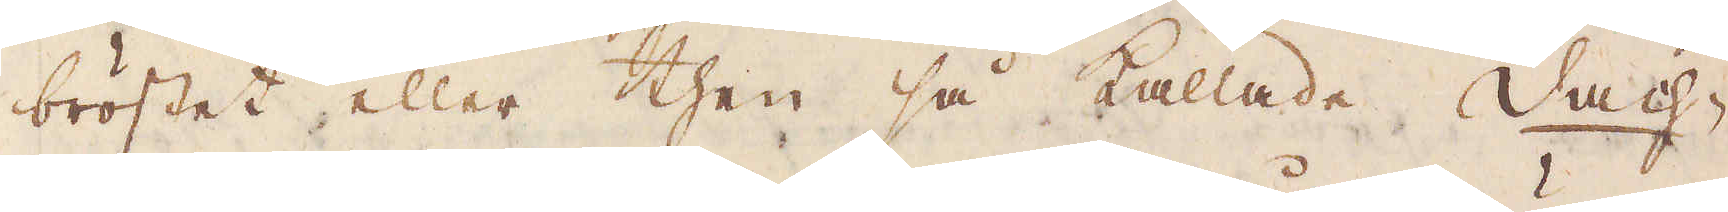bröstet eller then så kallade Dach-
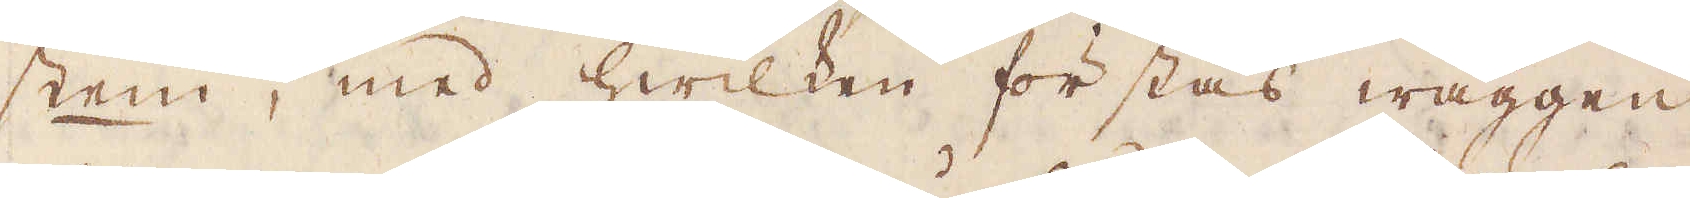stein, med hwilken förstås wäggen,
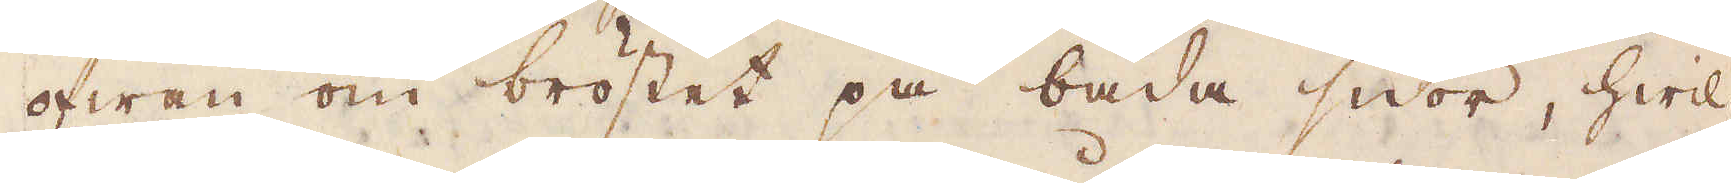ofwan om bröstet på båda sidor, hwil-
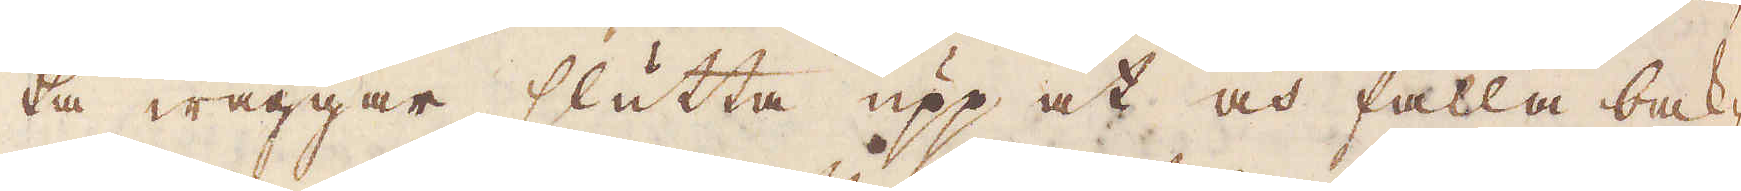ka wäggar slutta upp att och falla bak-
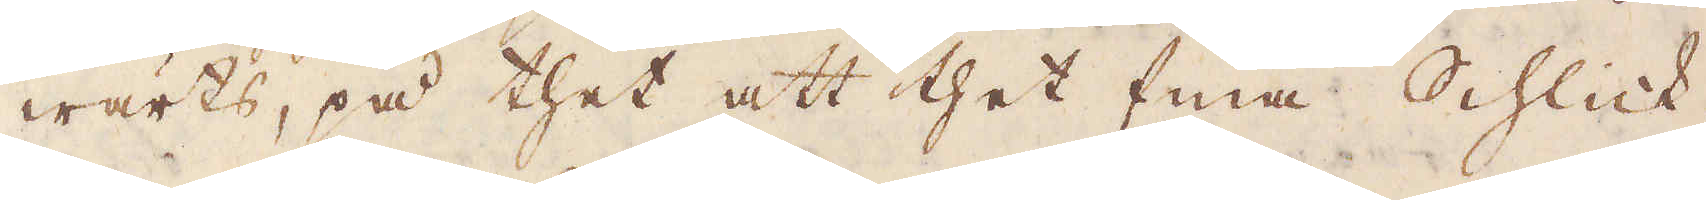wärts, på thet att thet fina Schlick,
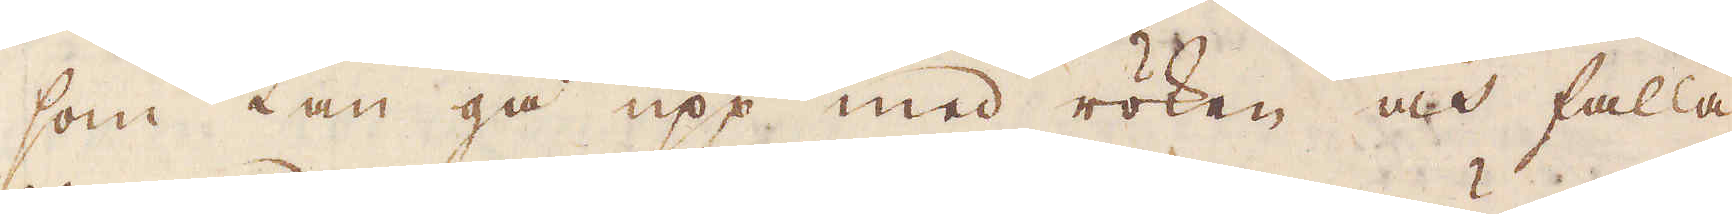som kan gå upp med röken och falla
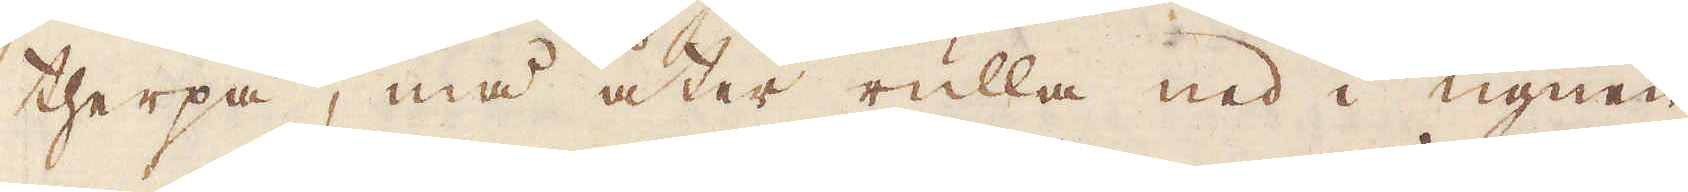therpå, må åter rulla ned i ugnen
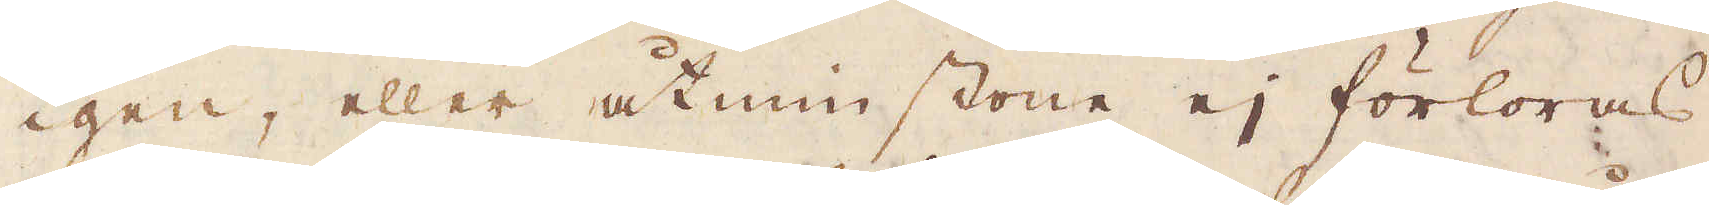igen, eller åtminstone ej förloras.
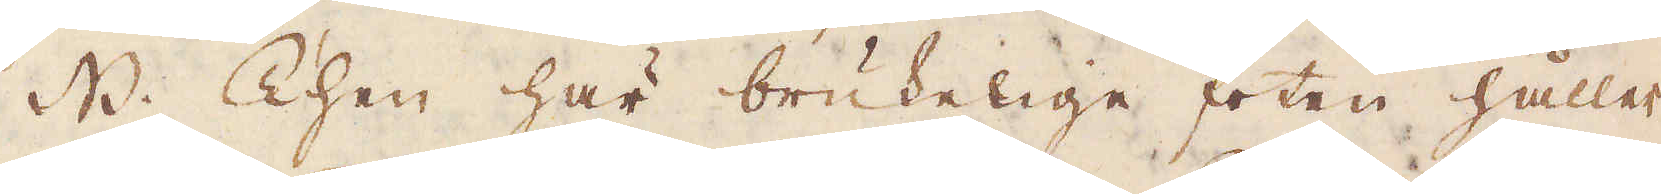NB. Then här brukelige foten håller
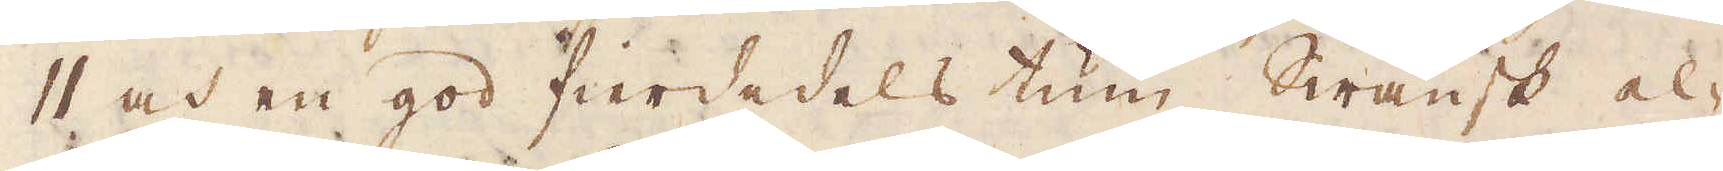11 och en god fierdedels tum Swänsk el-
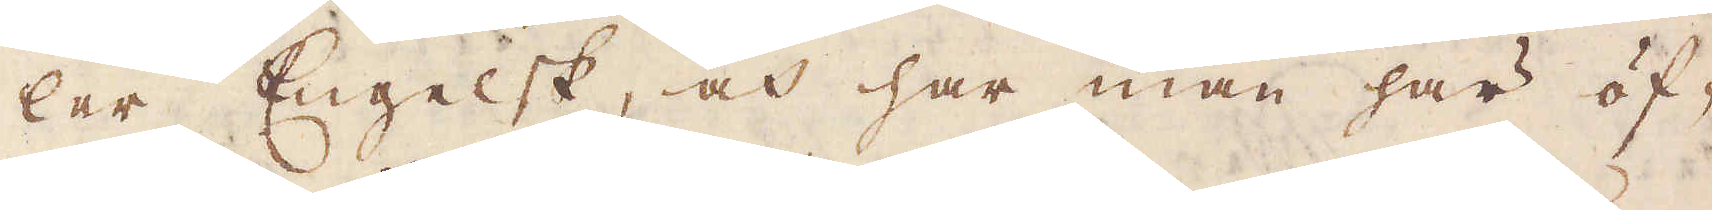ler Engelsk, och har man här öf-
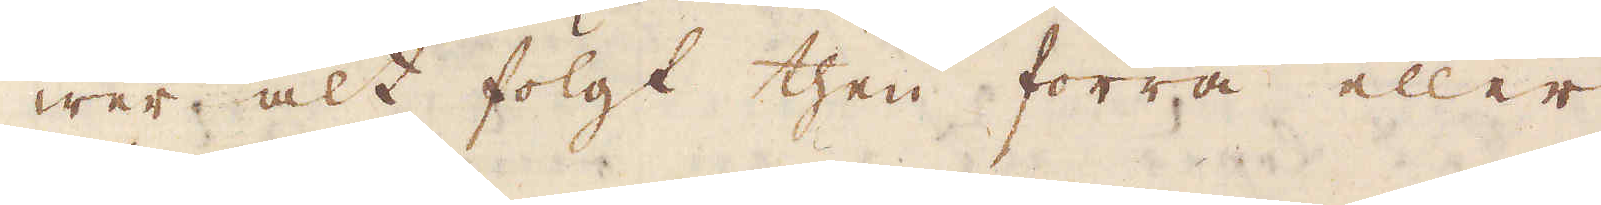wer alt folgt then förra eller
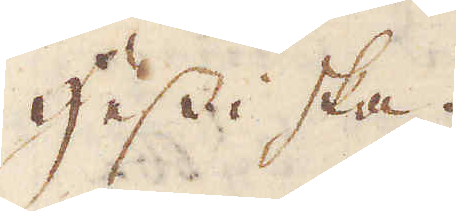Hessiska.
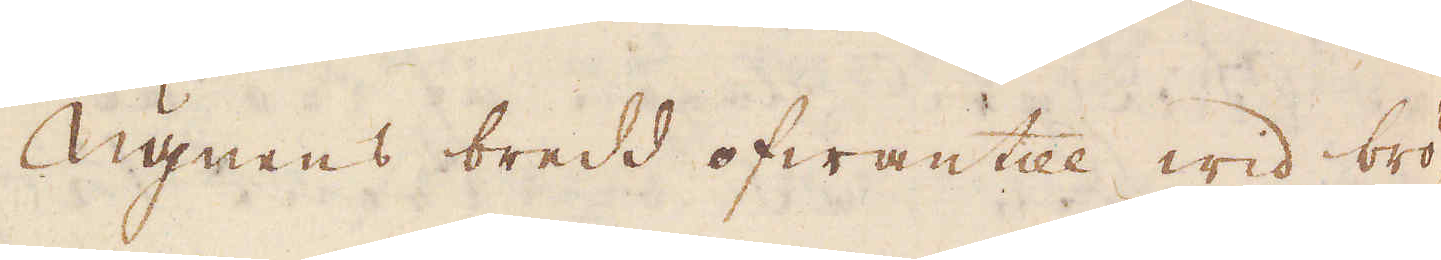Ugnens bredd ofwantill wid brö-
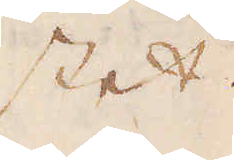stet.
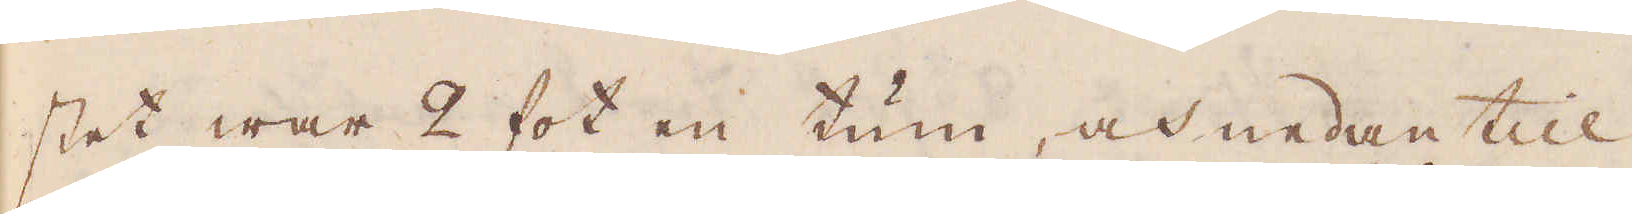stet war 2 fot en tum och nedantill
